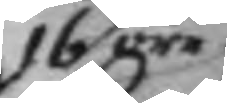16 öre
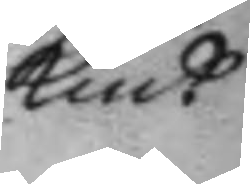Kmt
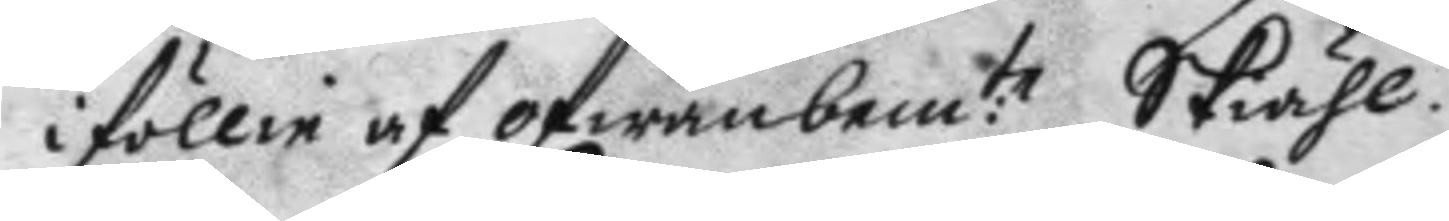i föllie af ofwanbem:te Skiähl.
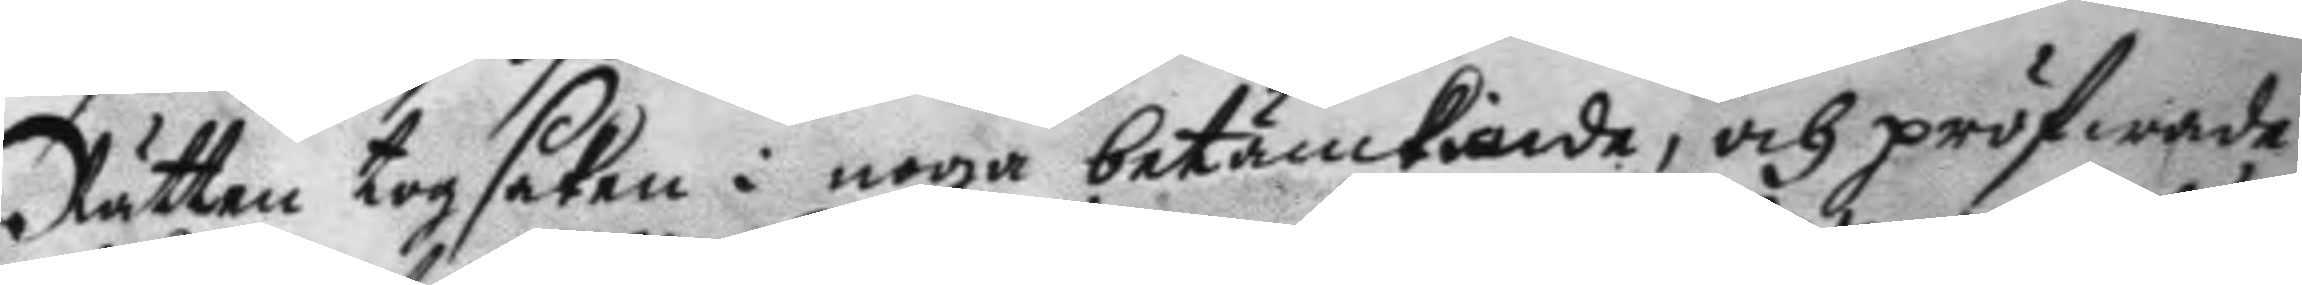Rätten tog saken i noga betänkiande, och pröfwade
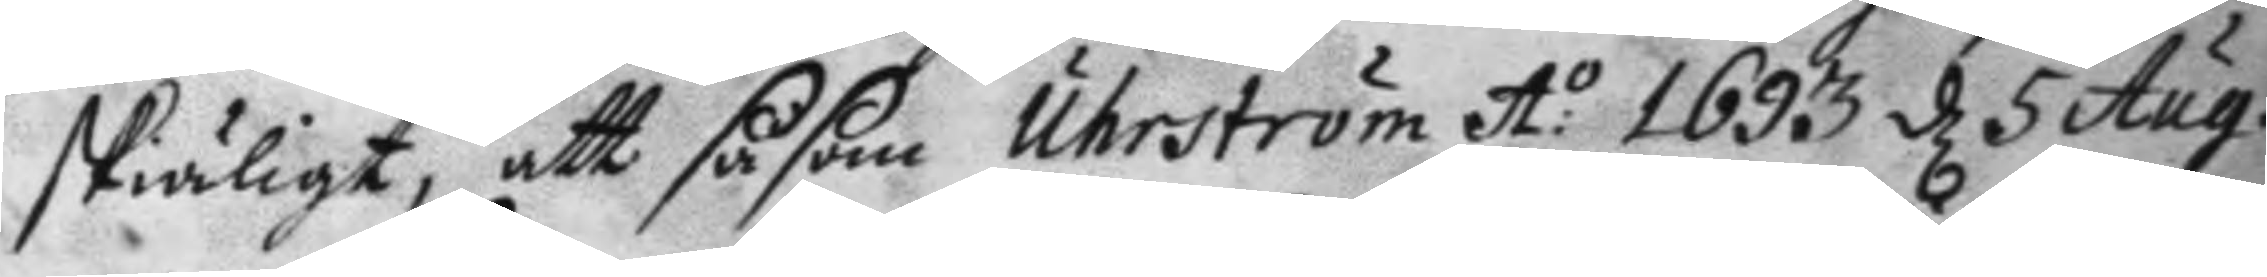skiäligt, att såsom Uhrström A:o 1693 d 5 Aug:
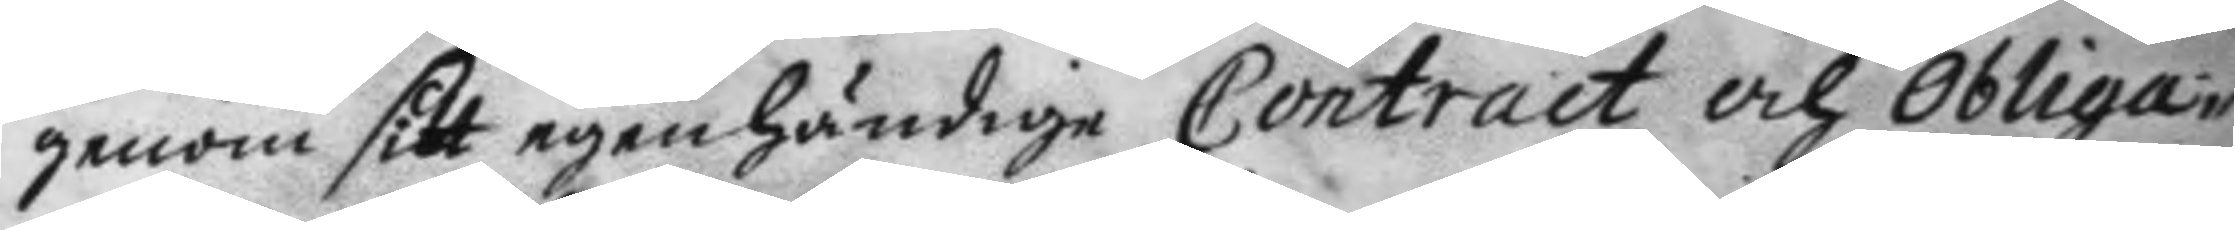genom sitt egenhändige Contract och Obliga¬
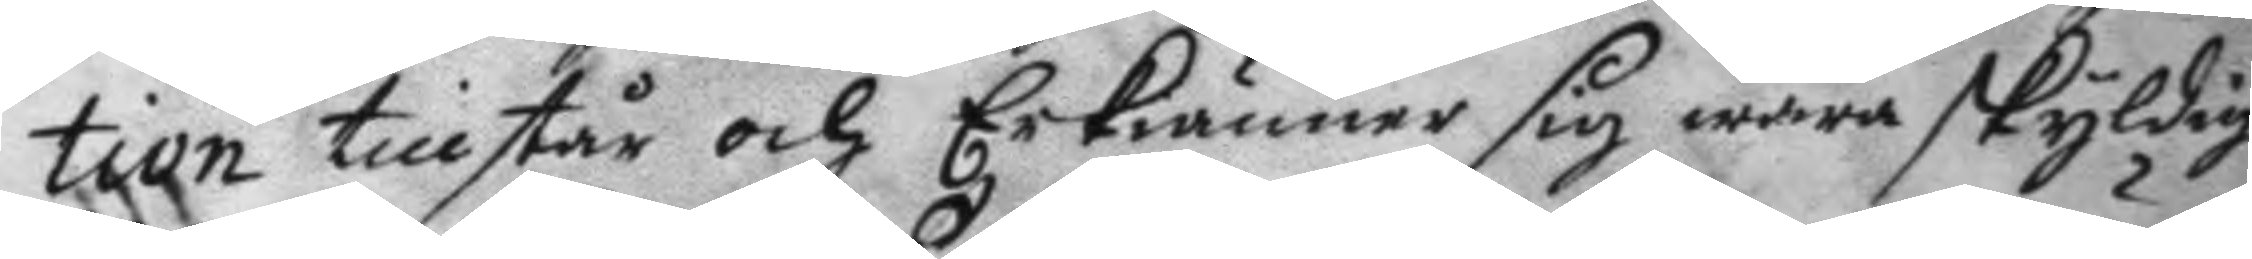tion tillstår och bekiäner sig wara skyldig
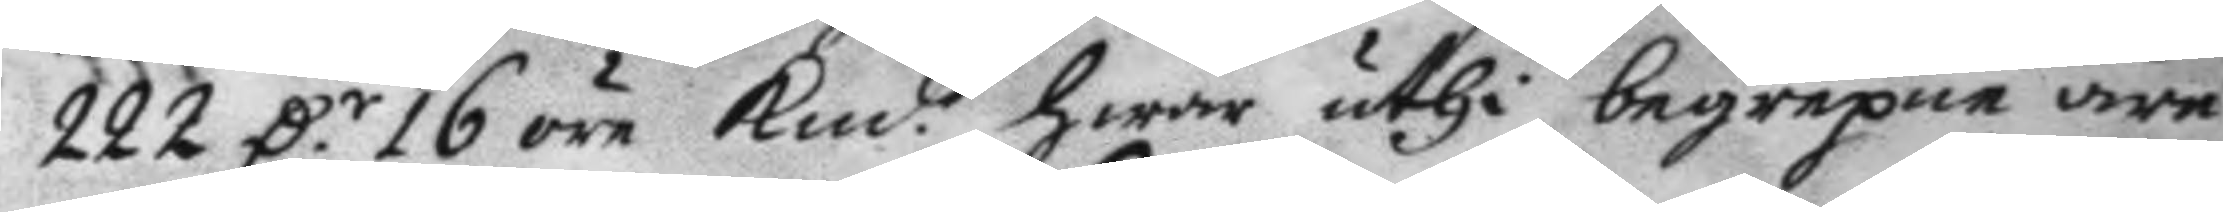222 D.r 16 öre Kmt hwar uthi begrepne äre
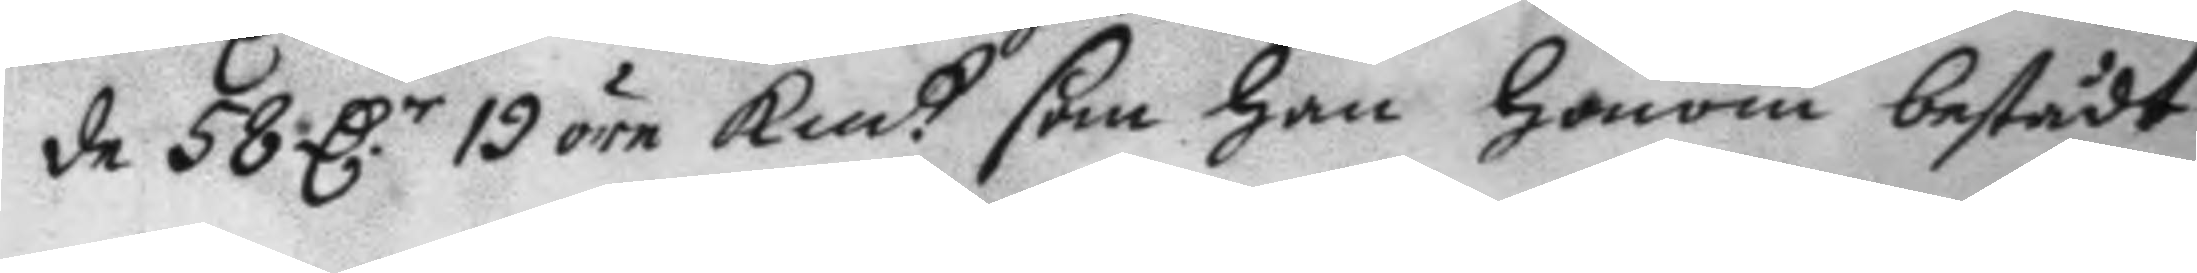de 58 D.r 19 öre Kmt som han honom bestådt
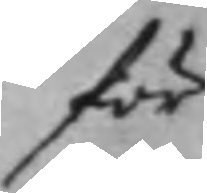för
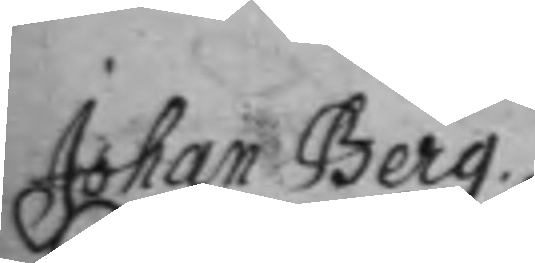Johan Berg.
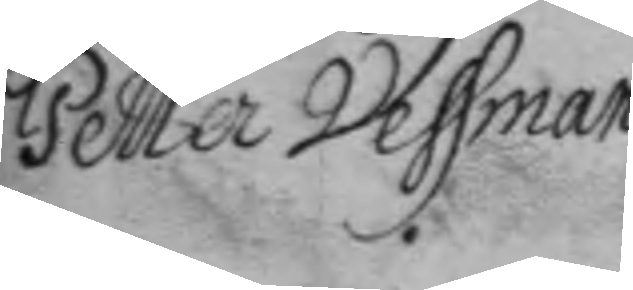Peter Vessman
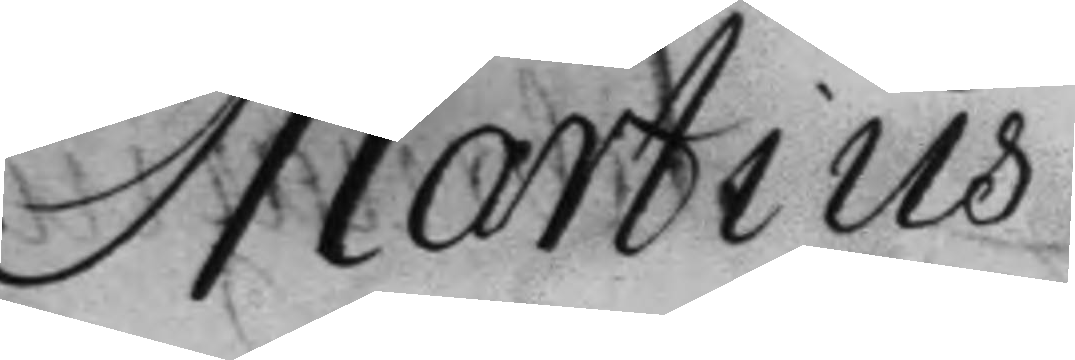Martius
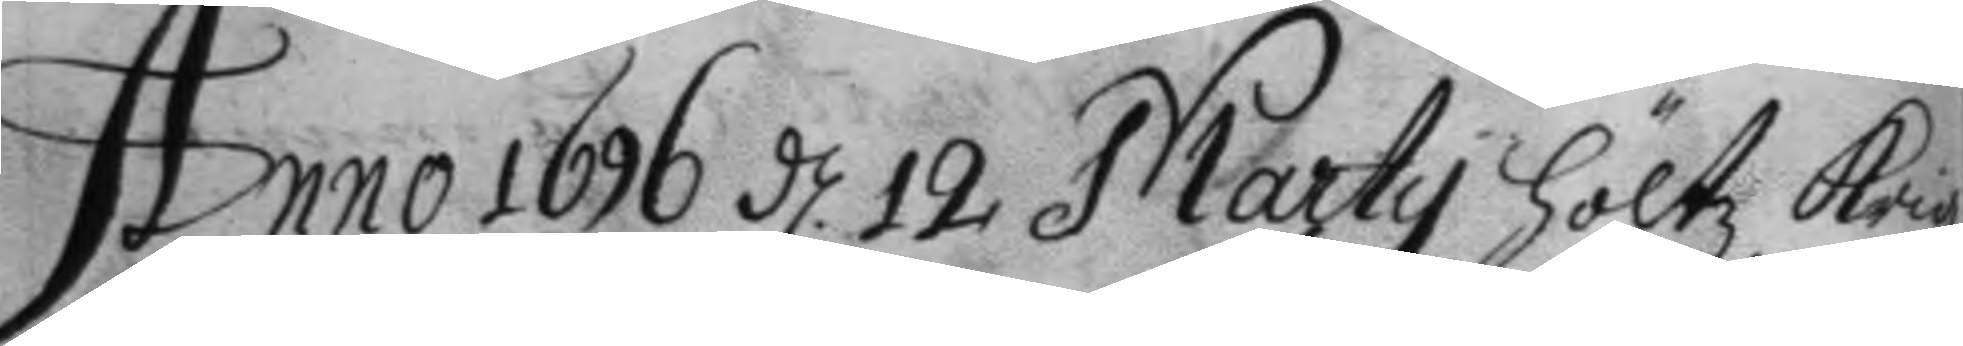Anno 1696 d.12 Marty höltz Krigz
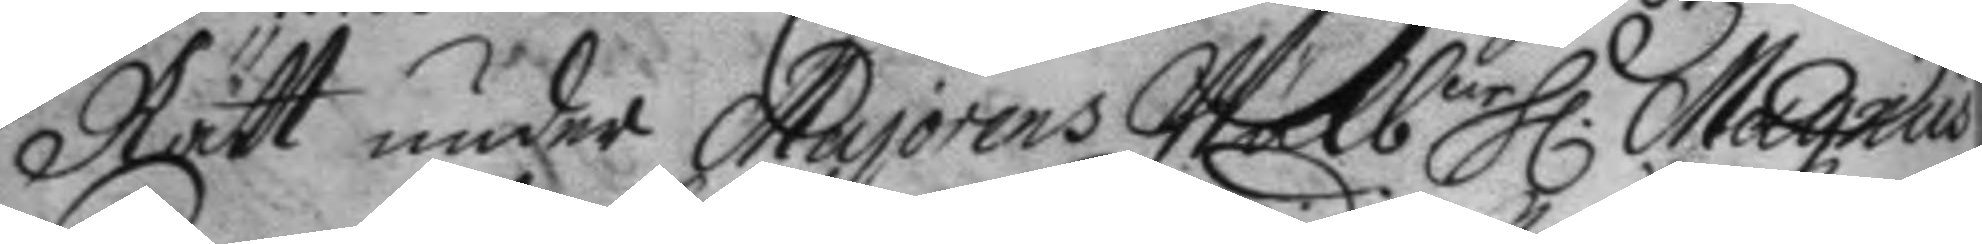Rätt under Majorens Wälb.ne H.r Magnus
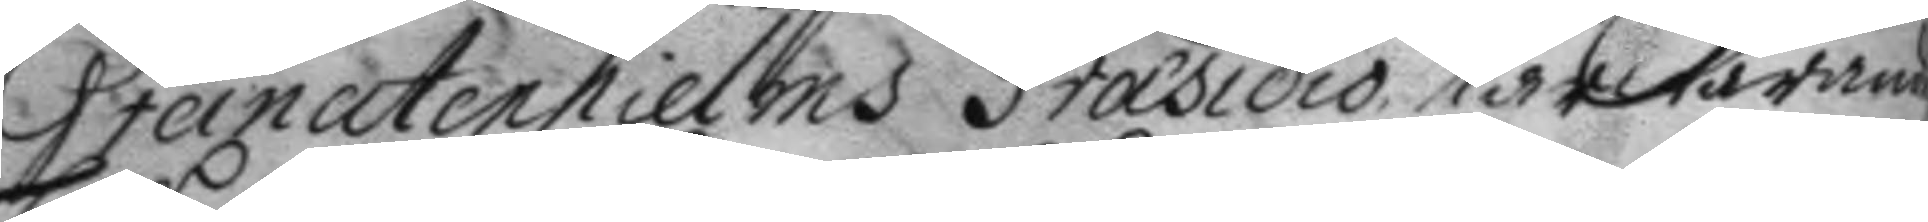Granatenhielms Præsidio närwarande
